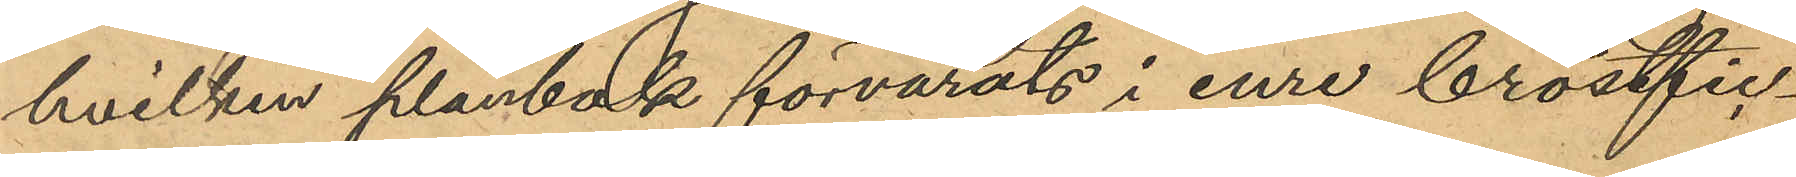hvilken plånbok förvarats i inre bröstfic¬
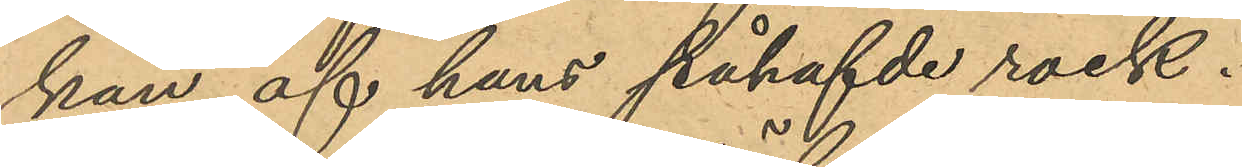kan af hans påhafvde rock.
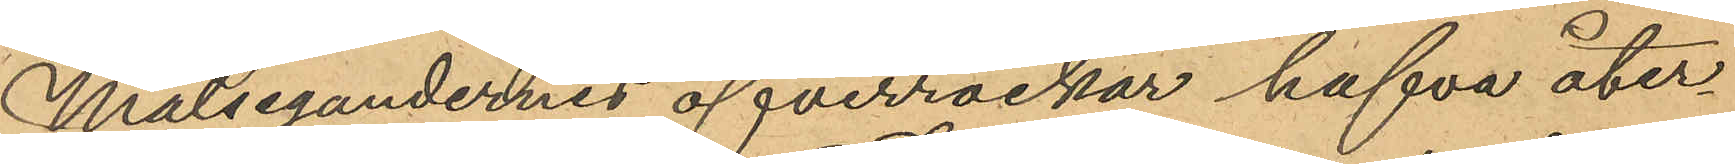Målsegandernes öfverrockar hafva åter¬
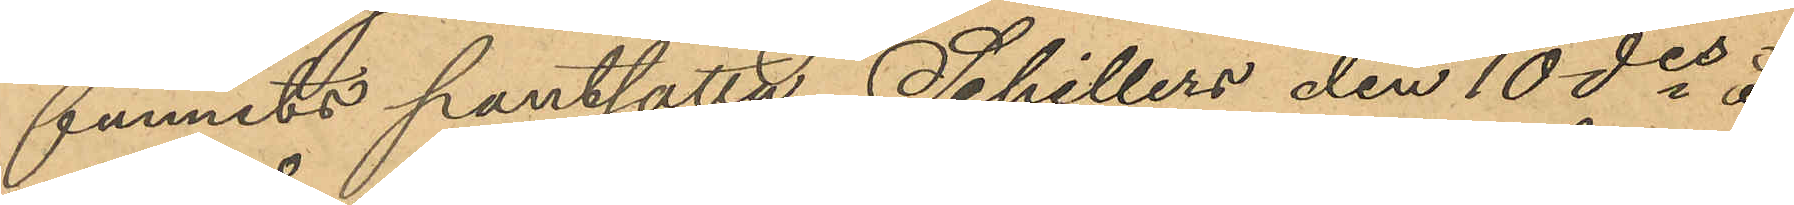funnits pantsatta, Schillers den 10 des å
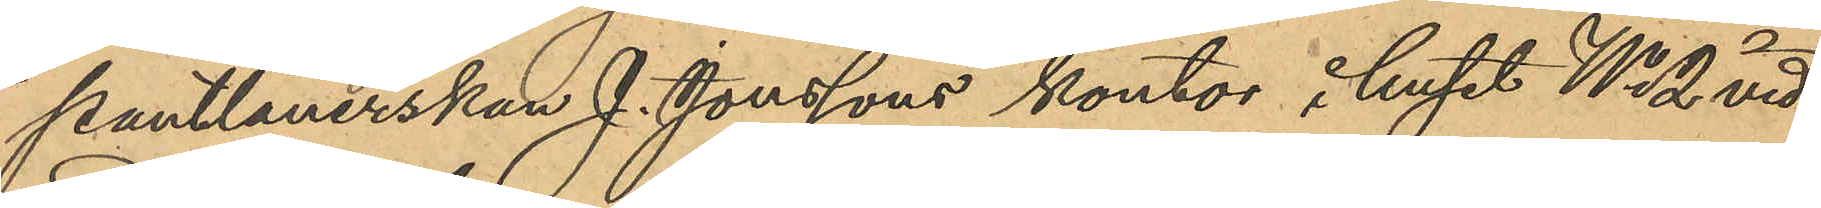pantlånerskan J. Jonssons kontor i huset No 2 vid
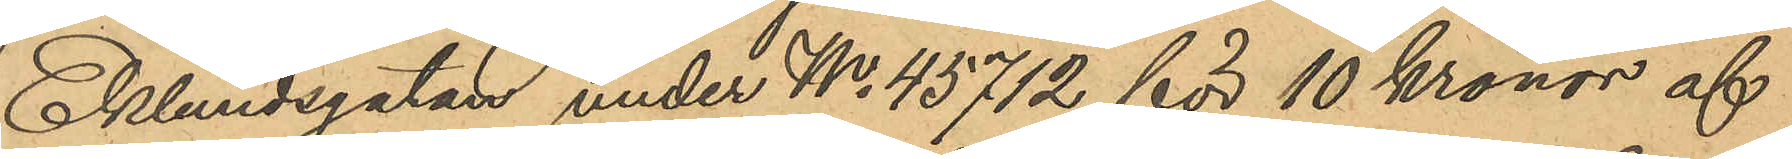Eklundsgatan under No 45712 för 10 kronor af
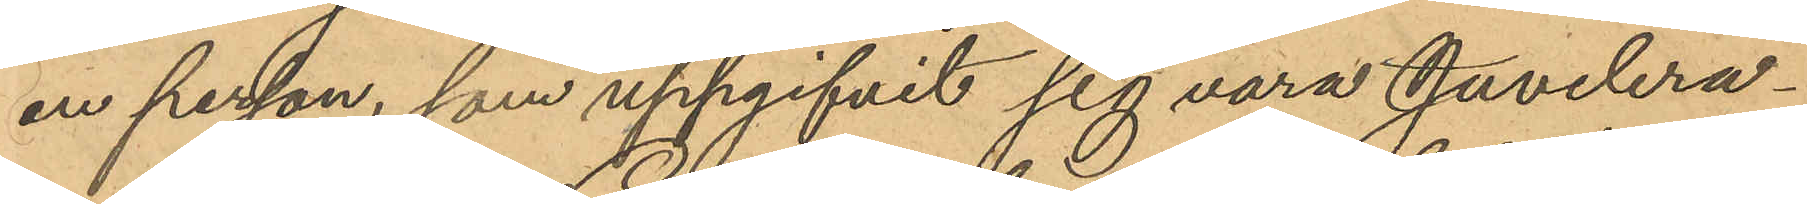en person, som uppgifvit sig vara Juvelera¬
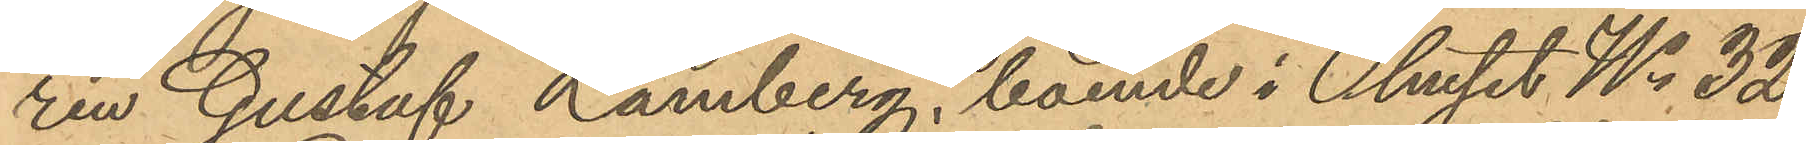ren Gustaf Lamberg, boende i huset No 32
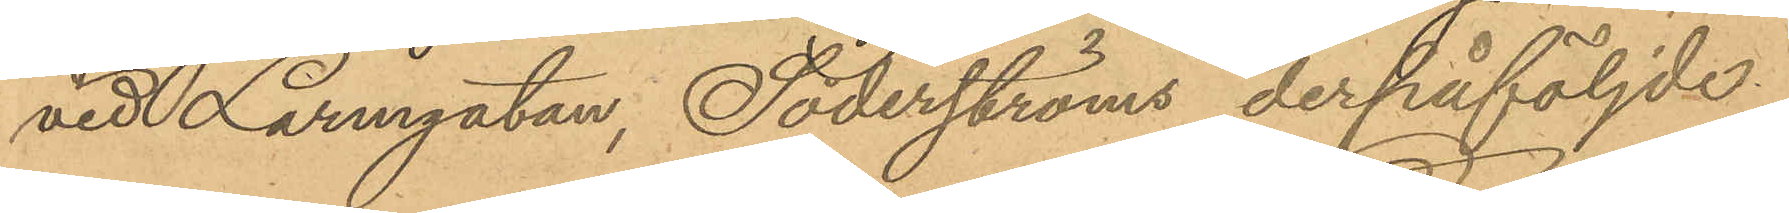vid Larmgatan, Söderströms derpåföljde
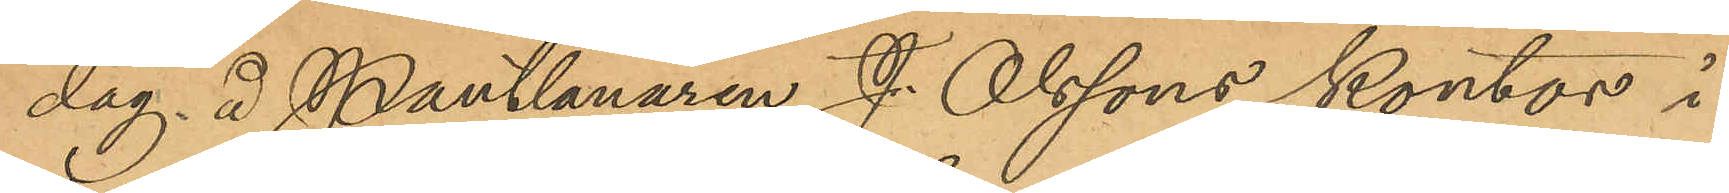dag å Pantlånaren J. Olssons kontor i
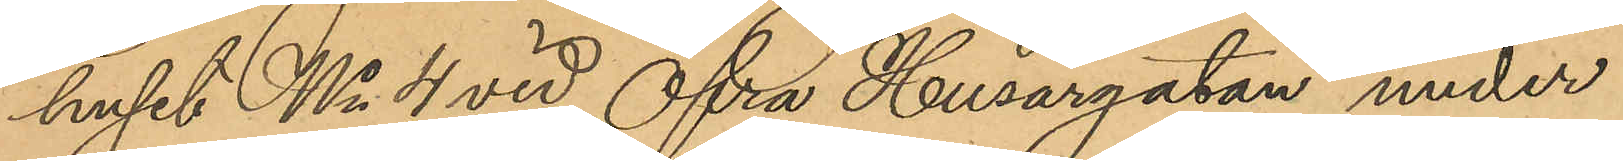huset No 4 vid Öfra Husargatan under
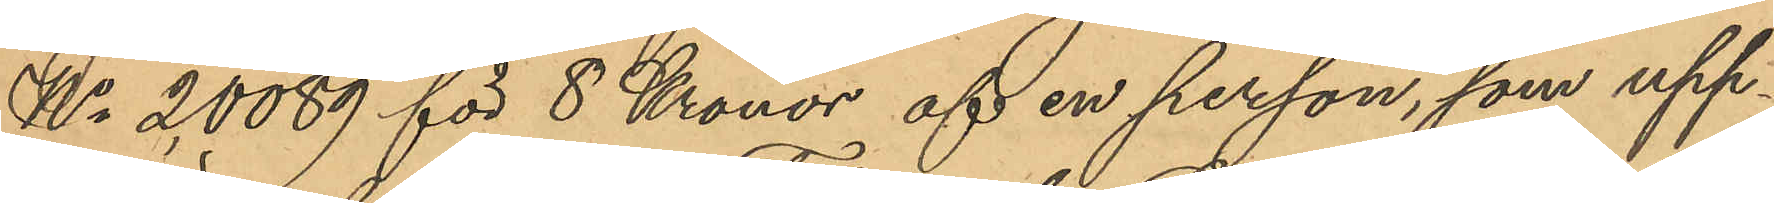No 2,0089 för 8 Kronor af en person, som upp¬
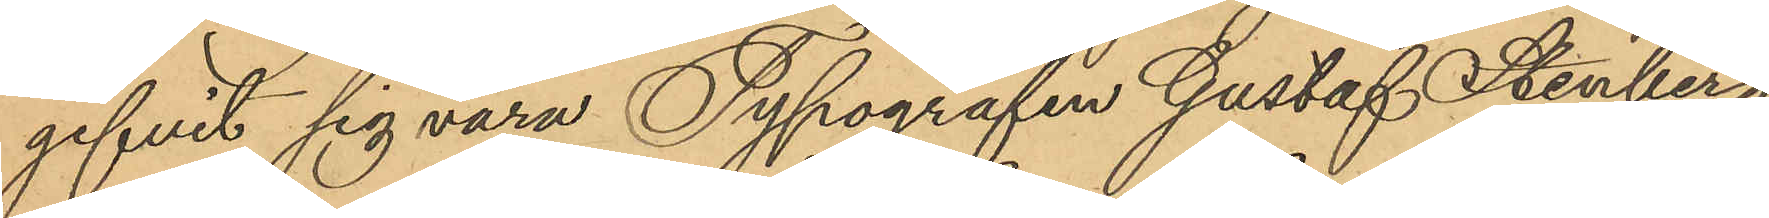gifvit sig vara Typografen Gustaf Stenberg,
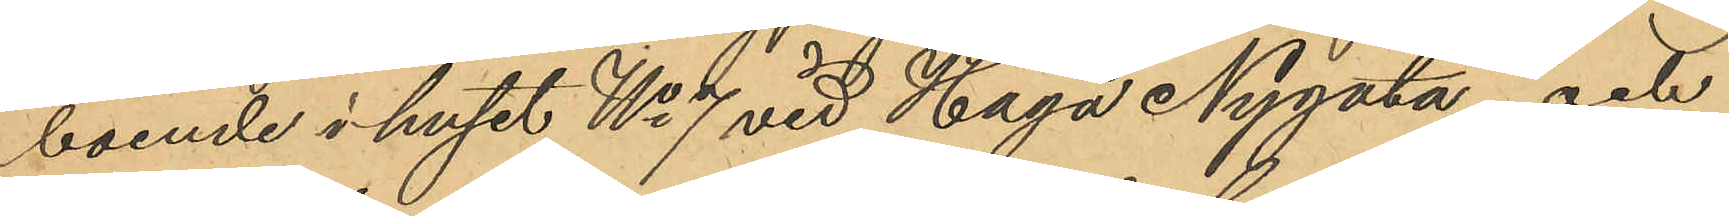boende i huset No 7 vid Haga Nygata, och
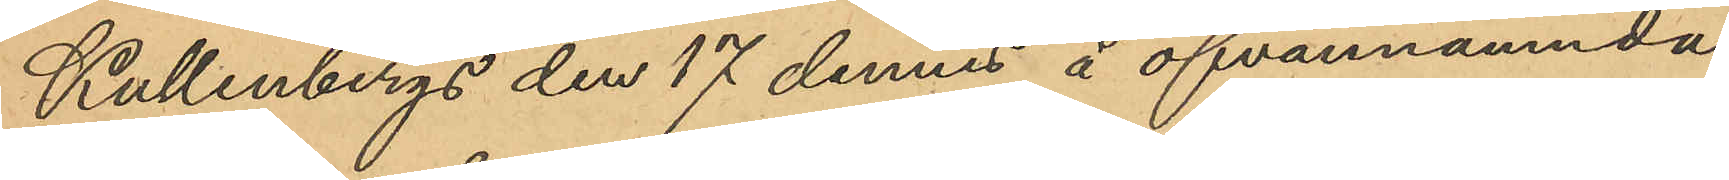Kullenbergs den 17 dennes å ofvannämnda
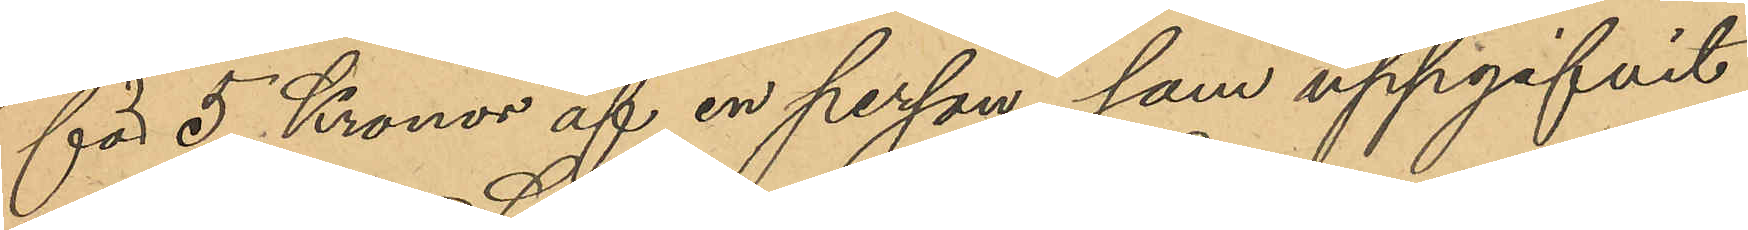för 5 Kronor af en person, som uppgifvit
